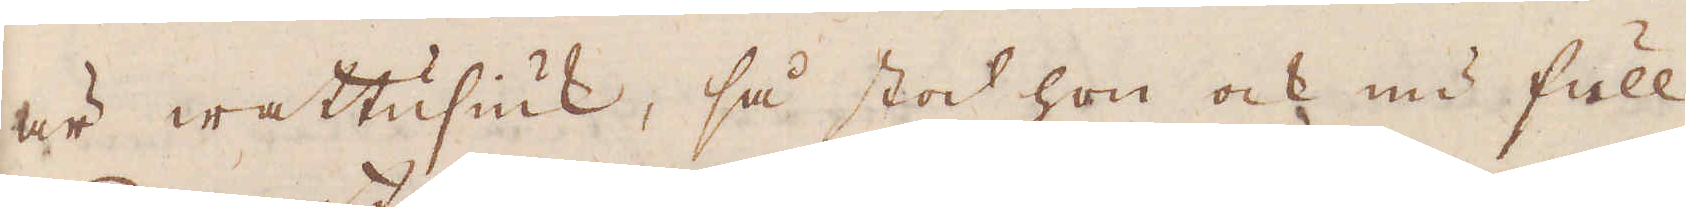är wattusiuk, så stod hon ock nu full
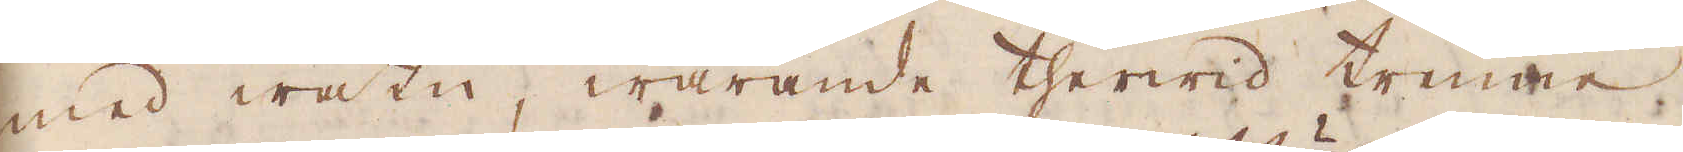med watn, warande therwid trenne
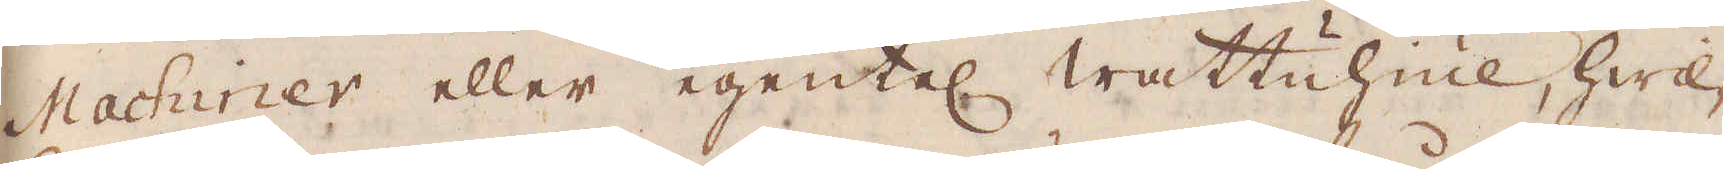Machiner eller egentel wattuhiul, hwil-
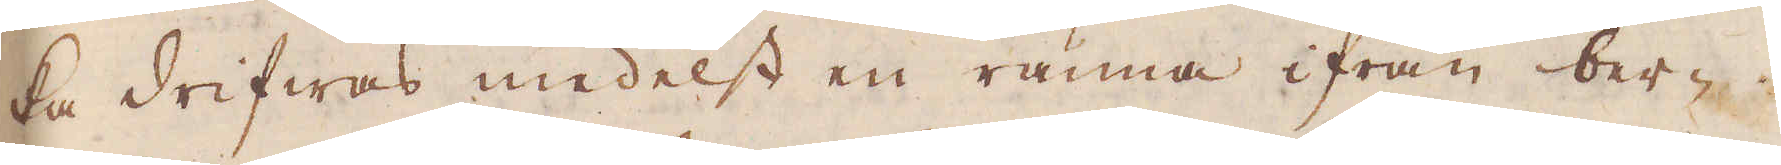ka drifwas medelst en ränna ifrån ber-
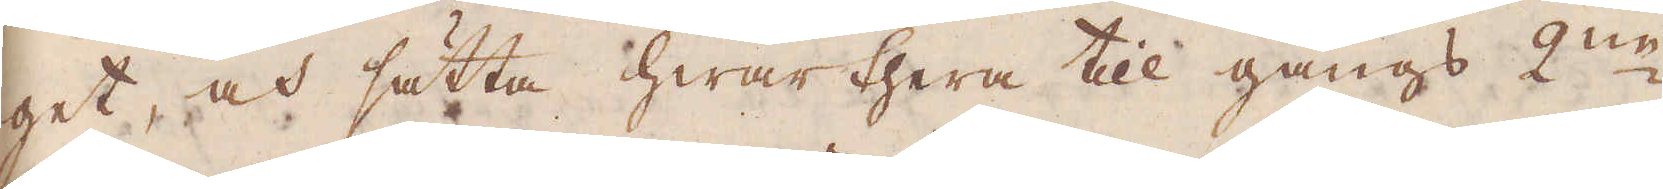get, och sätta hwarthera till gångs 2:ne
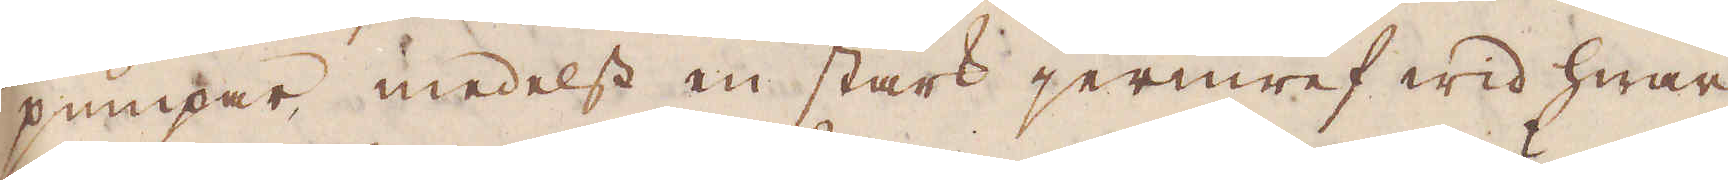pumpar medelst en stark jernwef wid hwar
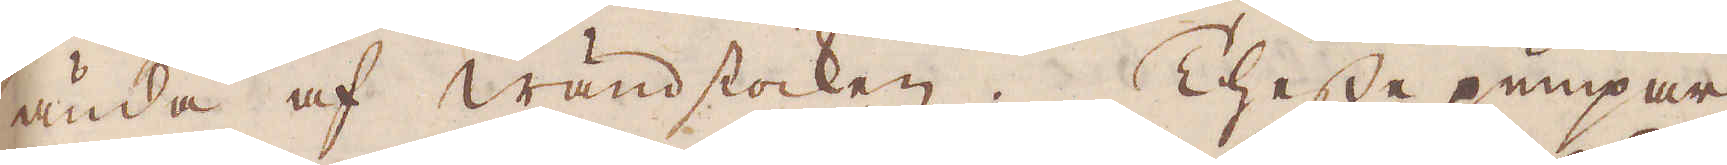ända af wändstocken. Thesse pumpar
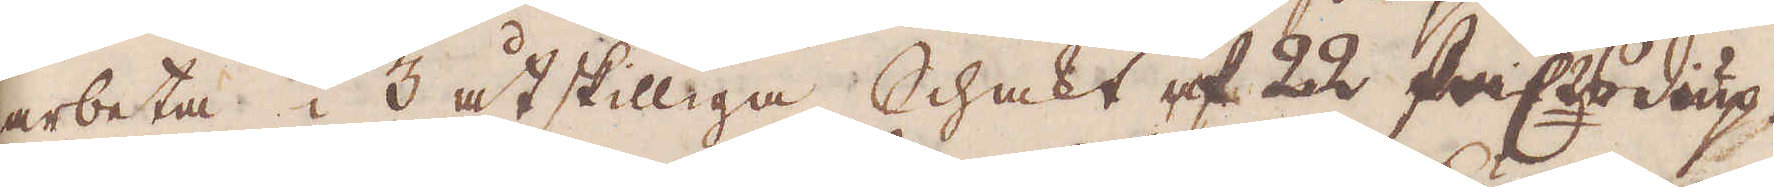arbeta i 3 åtskilliga Schakt af 22 famnars diup.
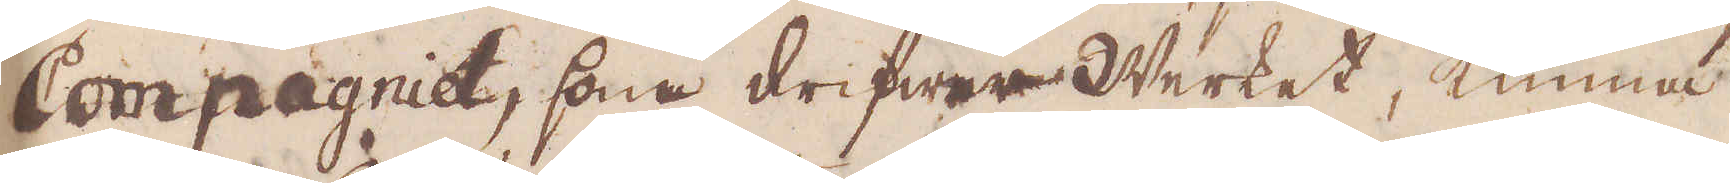Compagnie, som drifwer Werket, kunna
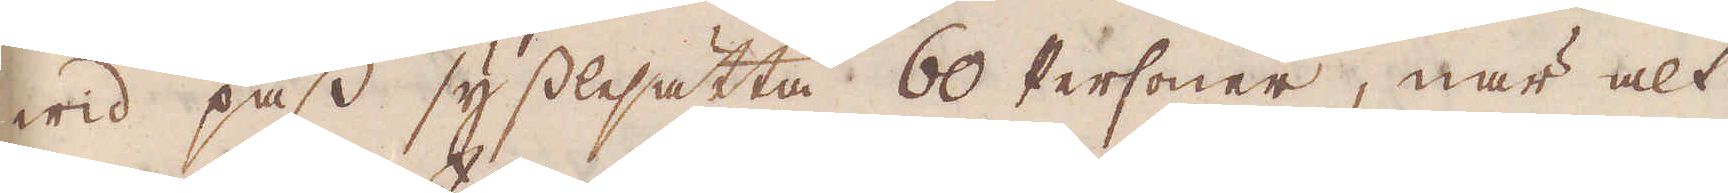wid pass sysslesätta 60 Personer, när alt
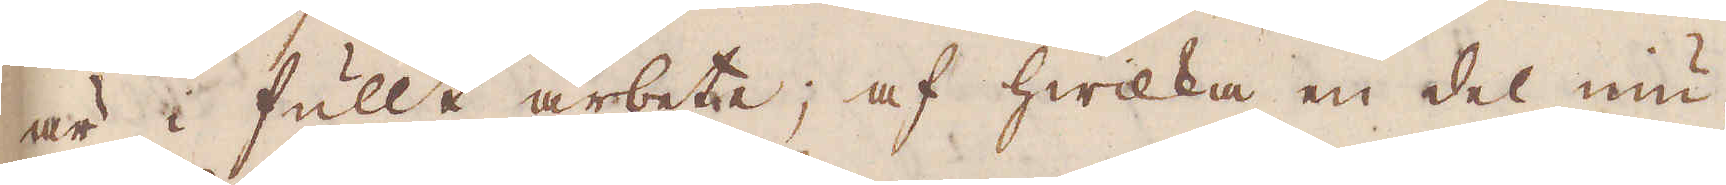är i fullt arbete; af hwilka en del niu-
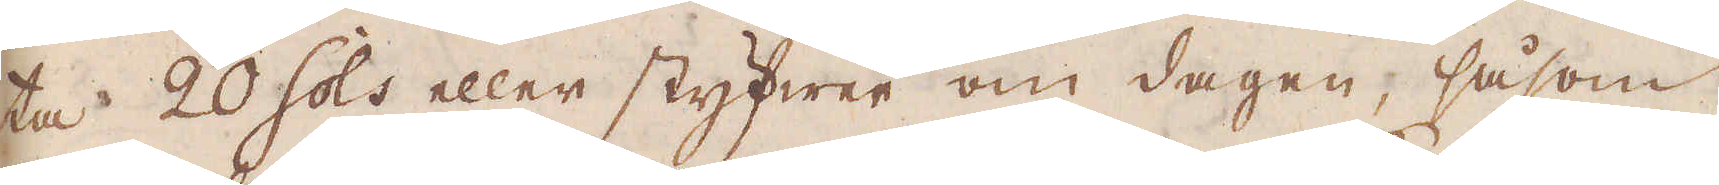ta 20 sols eller styfwer om dagen, såsom
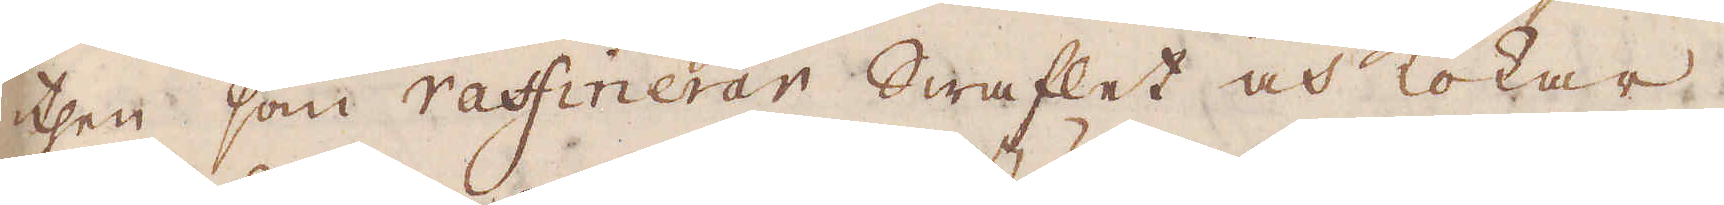then som raffinerar Swaflet och kokar
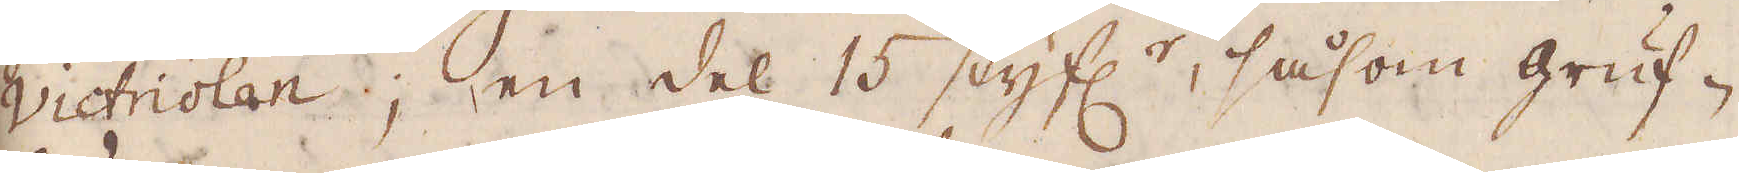Victriolan; en del 15 styf:r, såsom gruf-
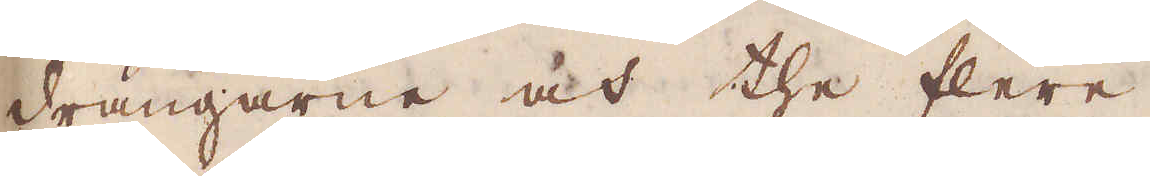drängarne och the flere.
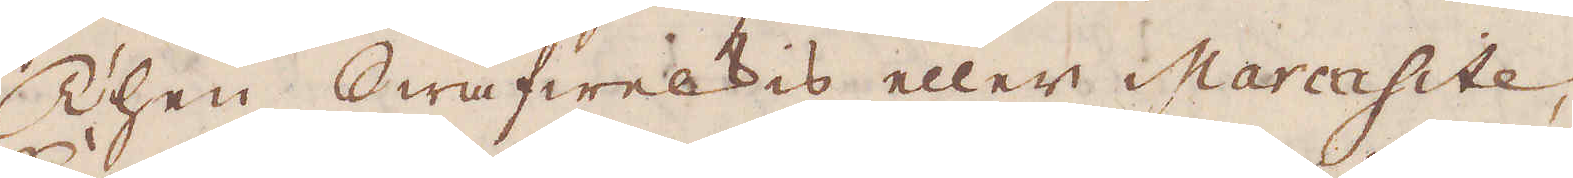Then Swafwelkis eller Marcasite,
